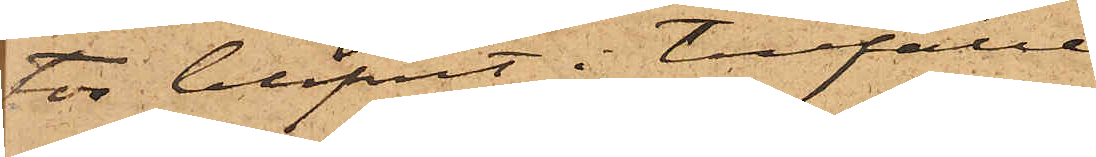tor blifvit i tillfälle
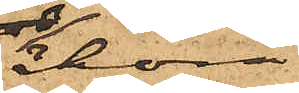åhöra
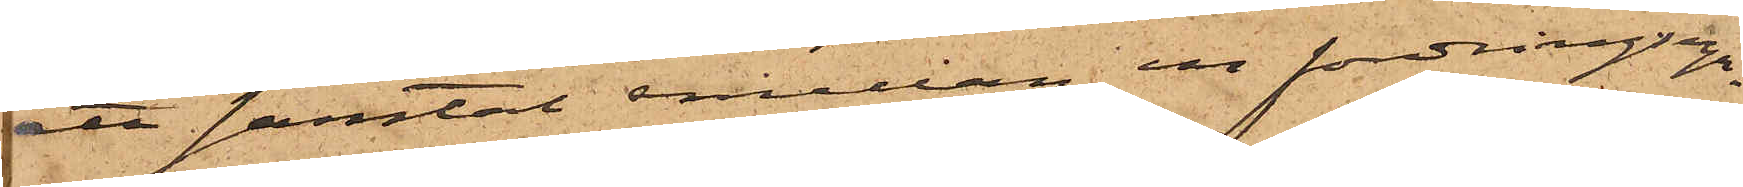ett samtal emellan en fordringsega¬
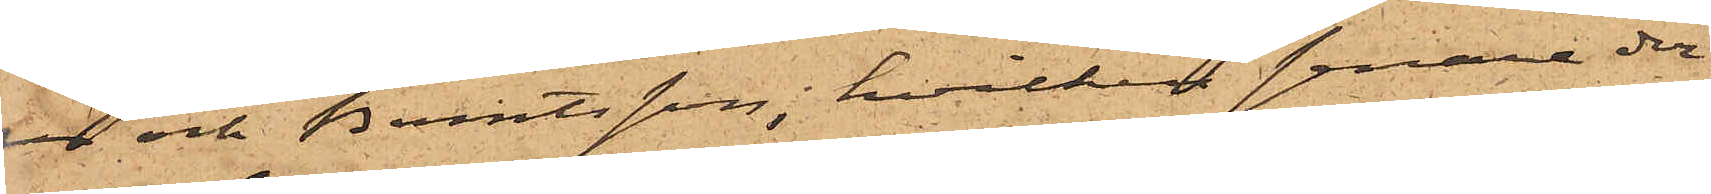re och Berntsson, hvilken senare der¬
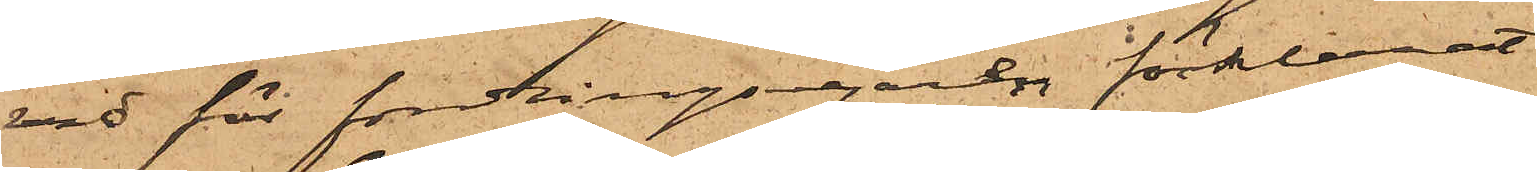vid för fordingsegaren förklarat
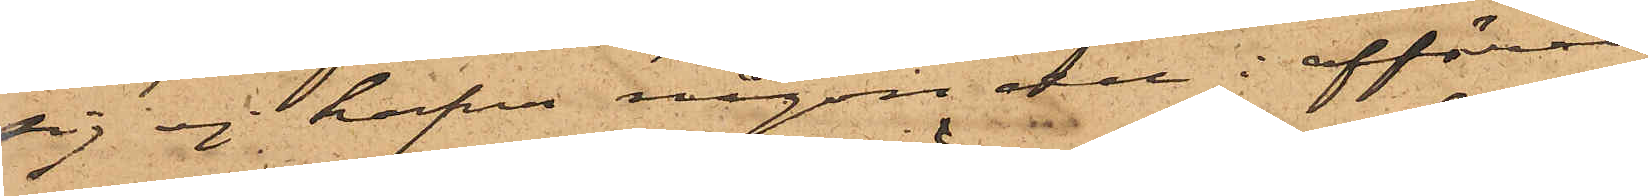sig ej hafva någon del i affären
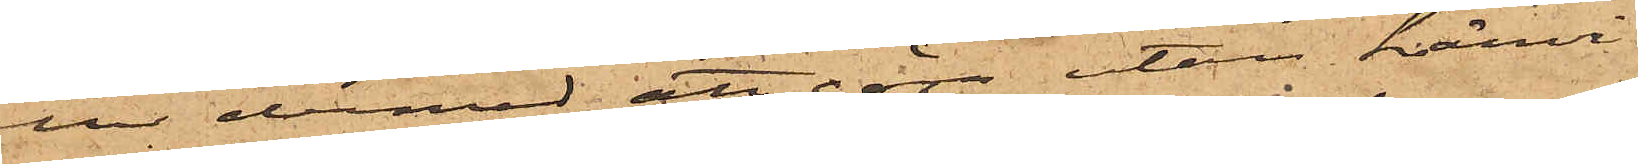eller dermed att göra utan hänvi¬
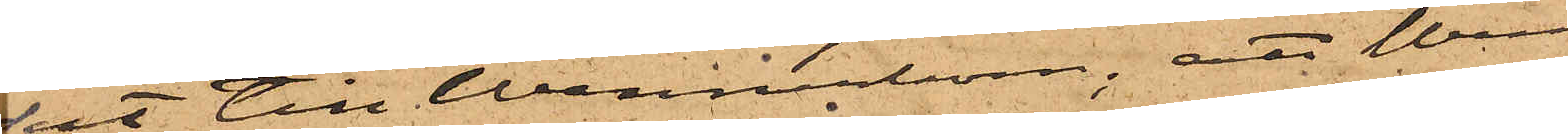sat till Wennerbom; att Wenner¬
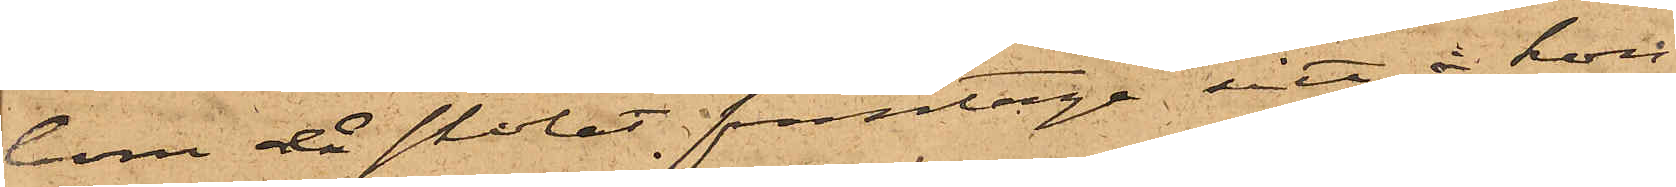bom då skolat framtaga sitt å kon¬
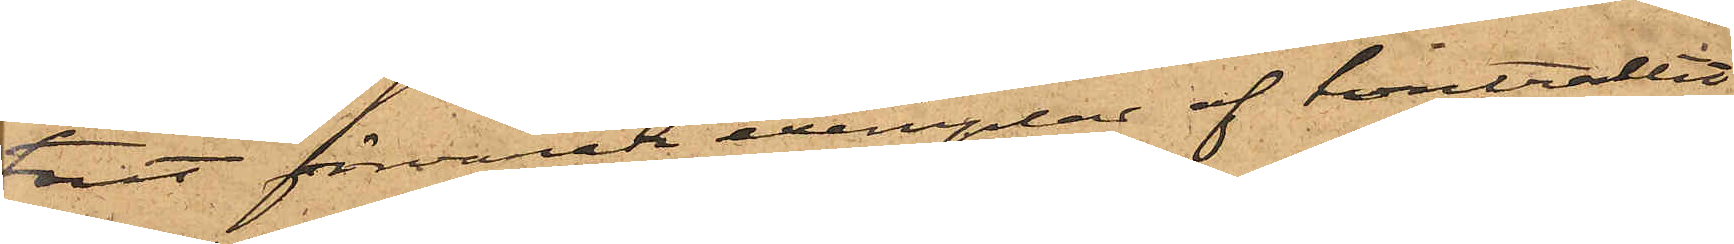toret förvarade exemplar af kontratet
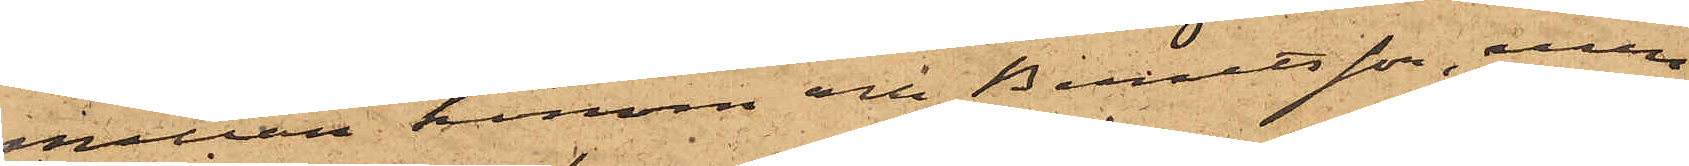emellan honom och Berntsson, men
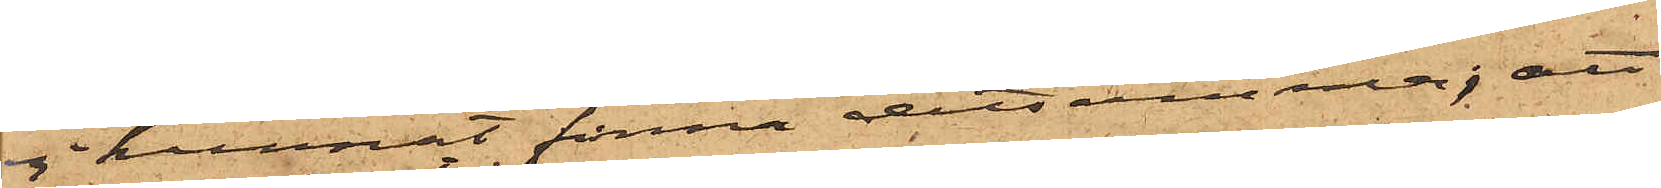ej kunnat finna detsamma; att
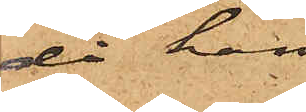då han
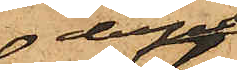derpå
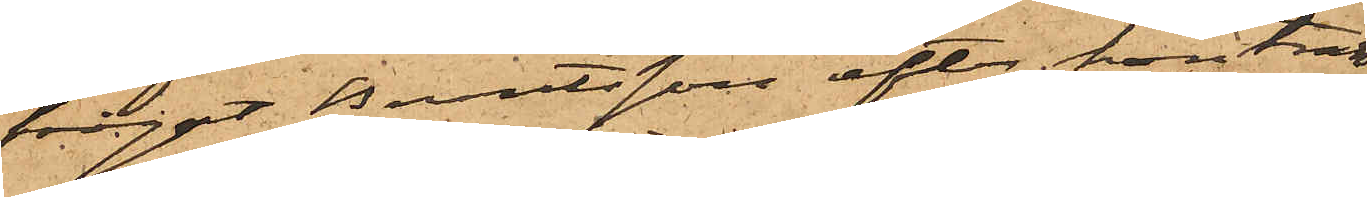frågat Berntsson efter kontrak¬
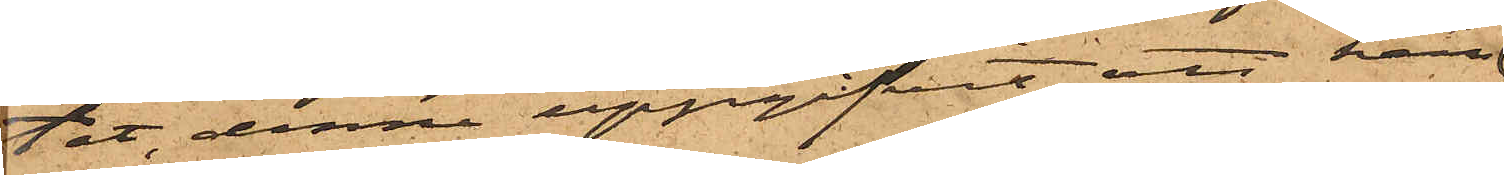tet, denne uppgifvit, att han
